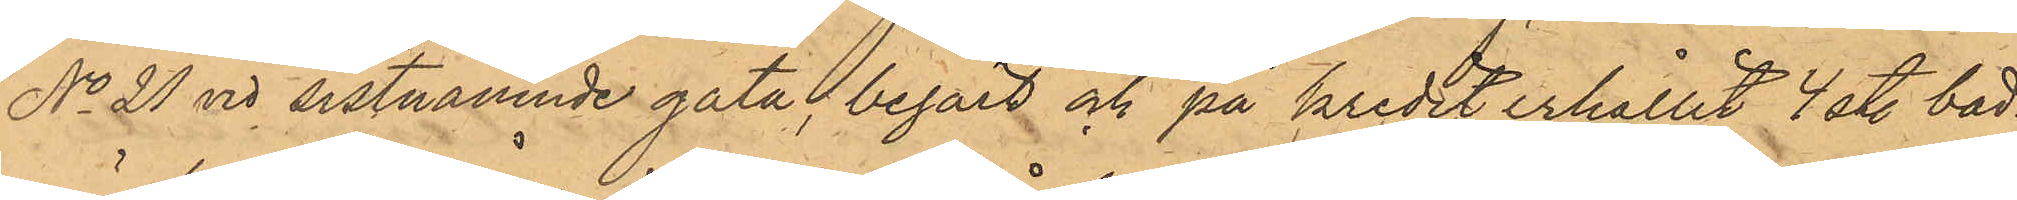No 21 vid sistnämnde gata, begärt och på kredit erhållit 4 st. bad¬
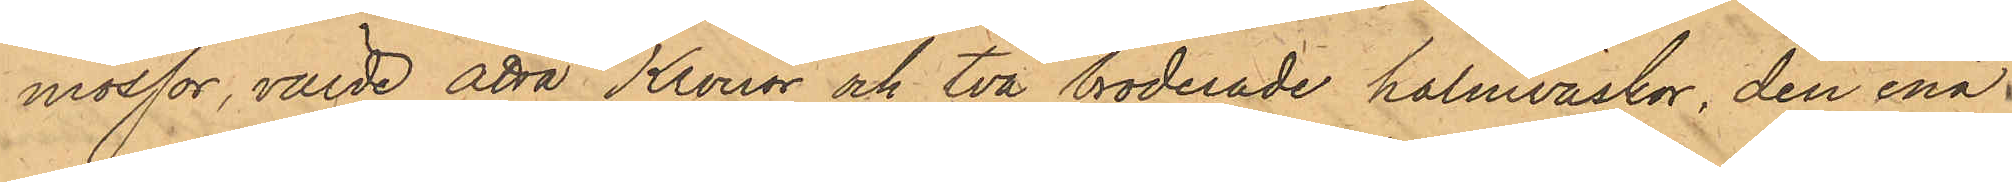mössor, värde åtta Kronor och två broderade halmväskor, den ena
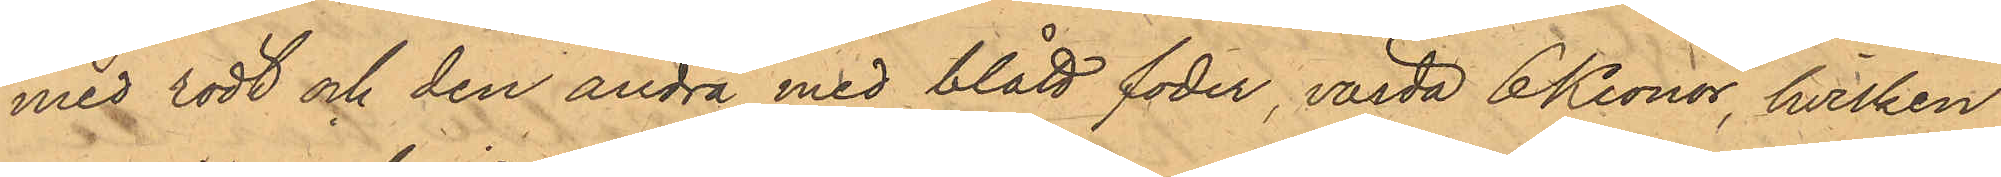med rödt och den andra med blått foder, värda 6 Kronor, hvilken
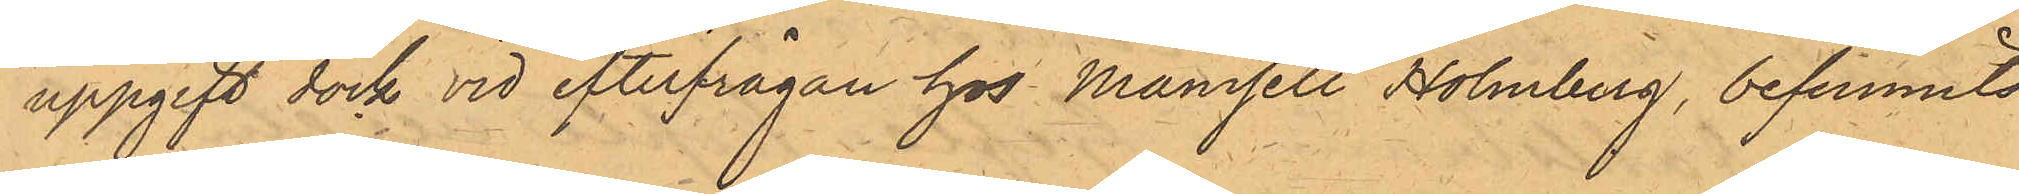uppgift dock vid efterfrågan hos Mamsell Holmberg, befunnits
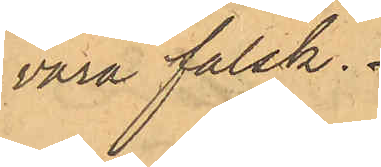vara falsk.
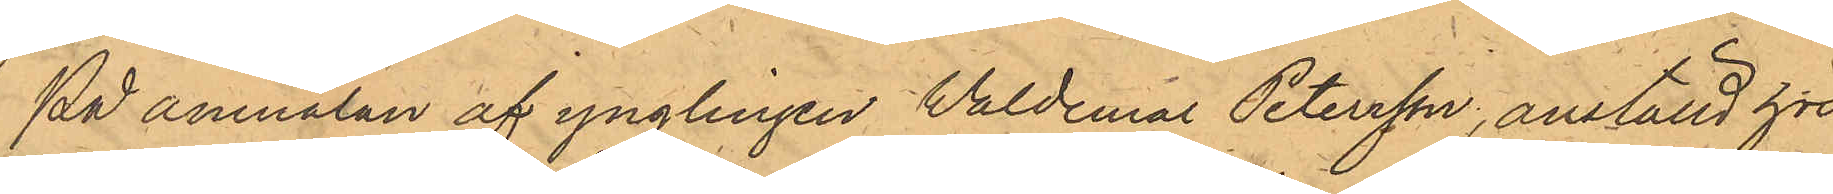På anmälan af ynglingen Valdemar Petersson, anställd hos
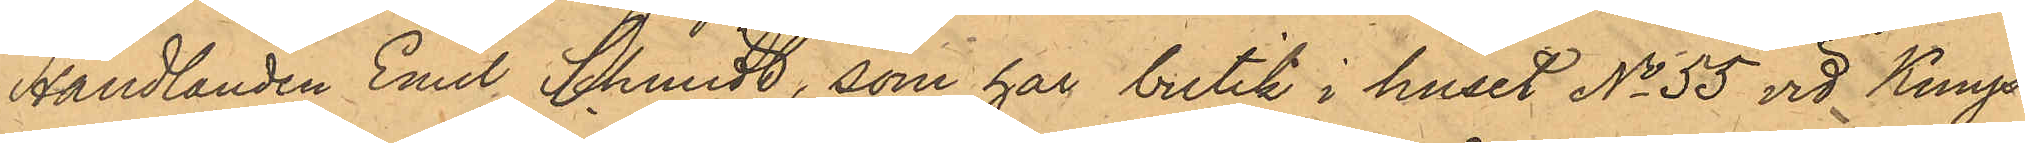Handlanden Emil Schmidt, som har butik i huset No 55 vid Kungs¬
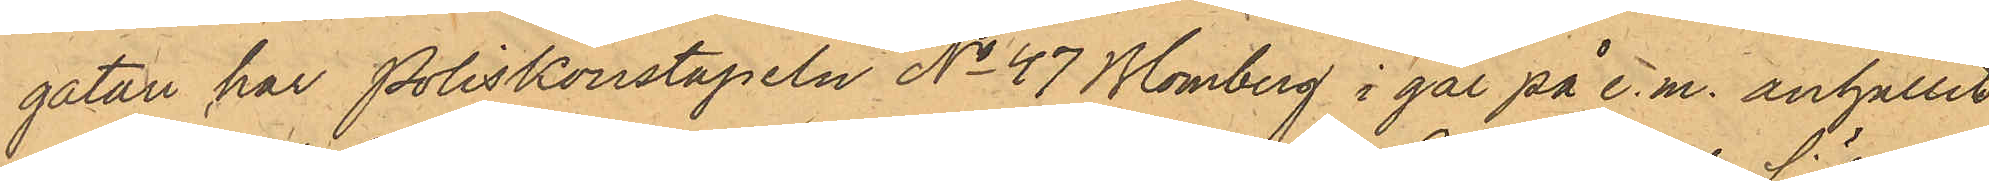gatan har Poliskonstapeln No 47 Blomberg i går på e.m. anhållit
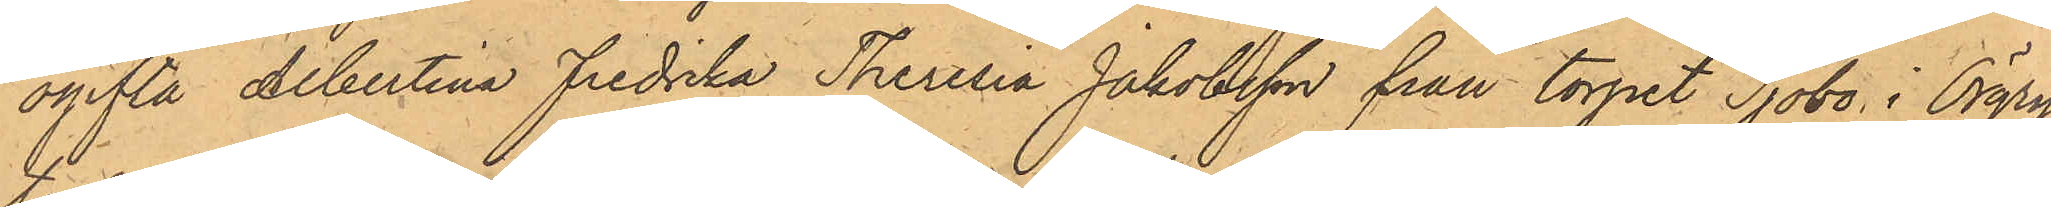ogifta Albertina Fredrika Theresia Jakobsson från torpet Sjöbo i Örgry¬
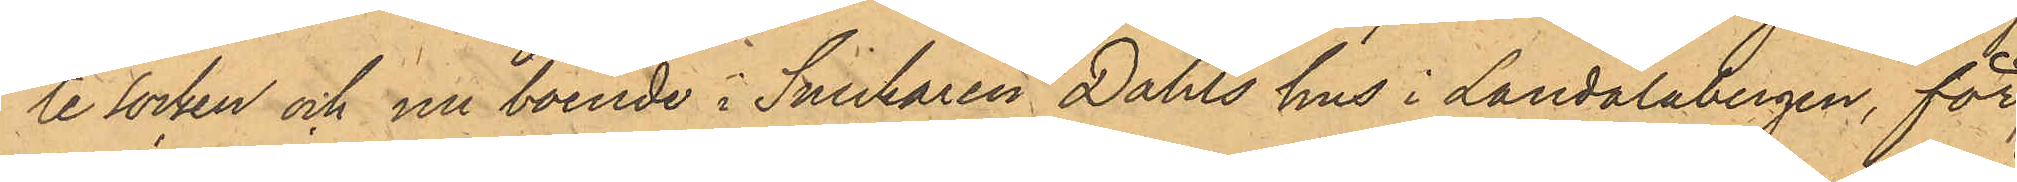te Socken och nu boende i Snickaren Dahls hus i Landalabergen, för
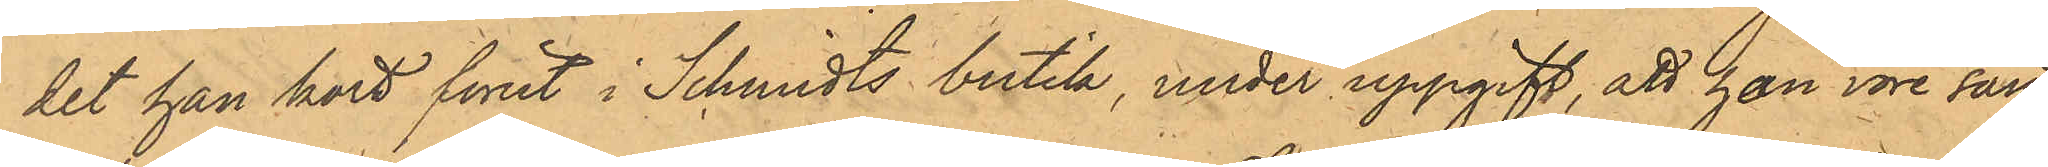det han kort förut i Schmidts butik, under uppgift, att han vore sänd
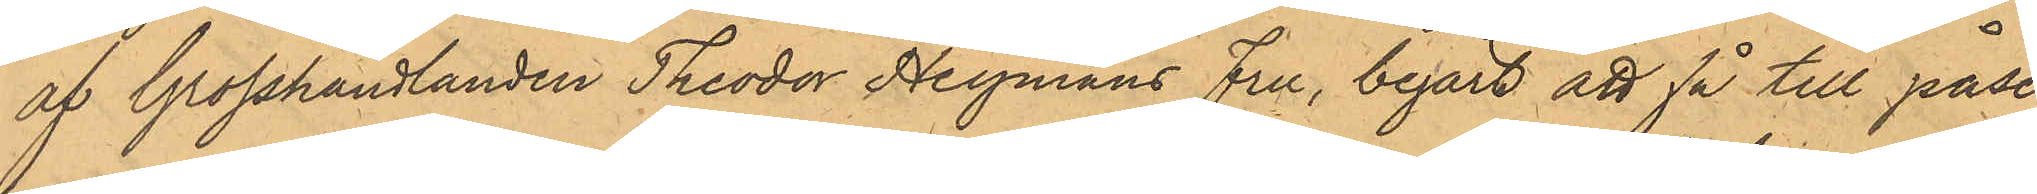af Grosshandlanden Theodor Heymans Fru, begärt att få till påse¬
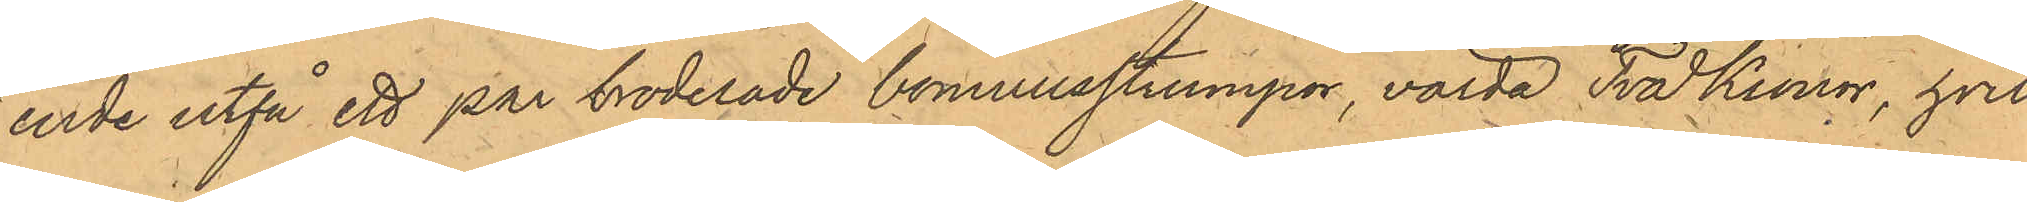ende utfå ett par broderade bomullsstrumpor, värda Två Kronor, hvil¬
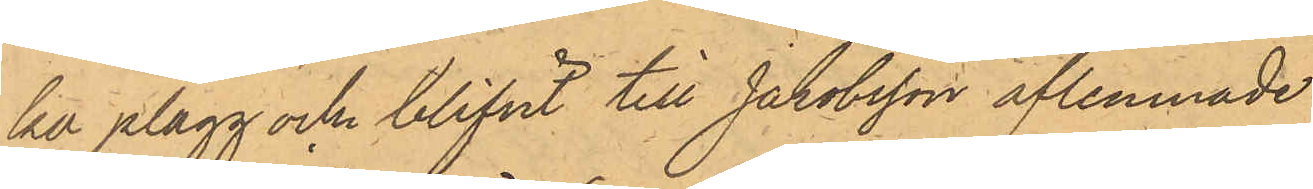he plagg ock blifvit till Jakobsson aflemnade.
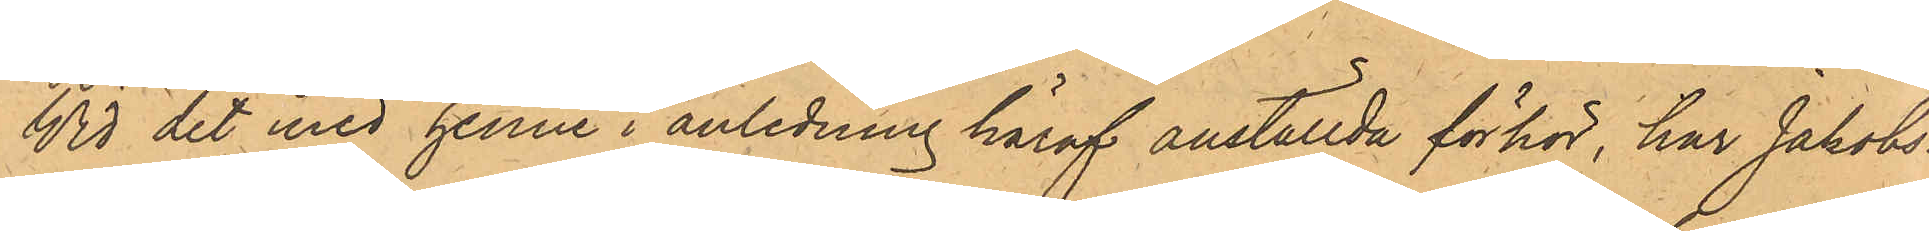Vid det med henne i anledning häraf anställda förhör, har Jakobs¬
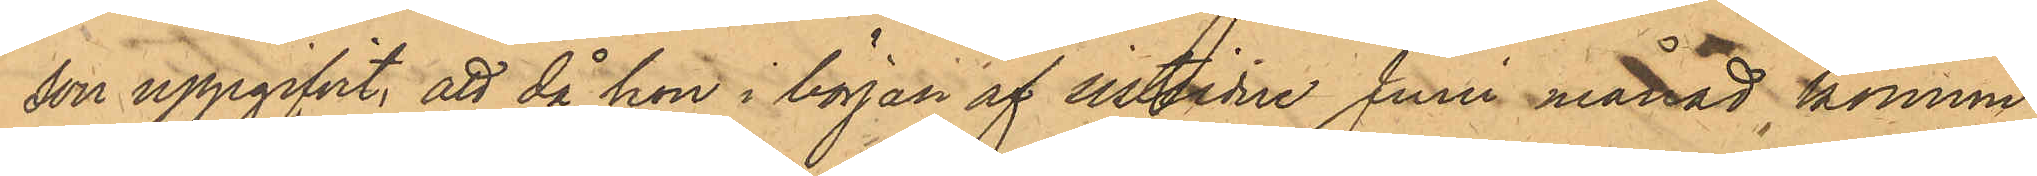son uppgifvit, att då hon i början af sistlidne Juni månad kommit
